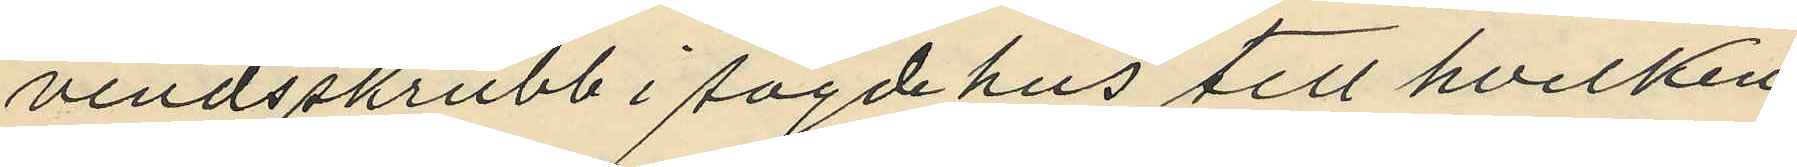vindsskrubb i sagde hus till hvilken
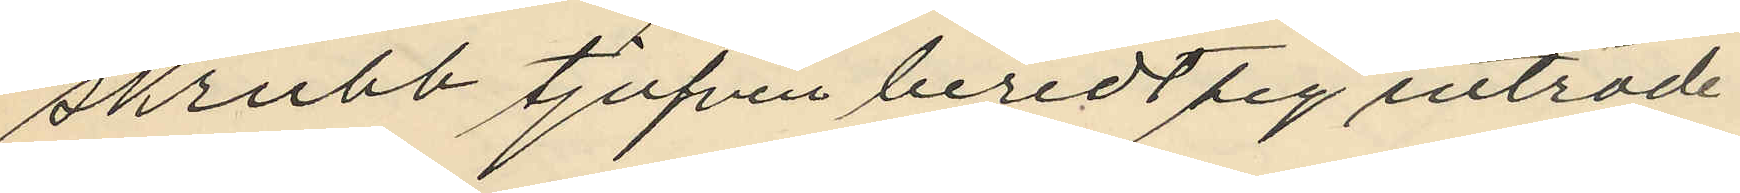skrubb tjufven beredt sig inträde
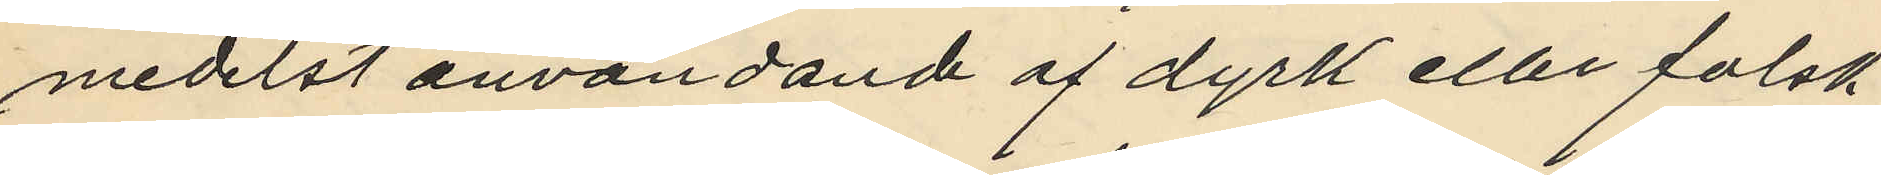medelst användande af dyrk eller falsk
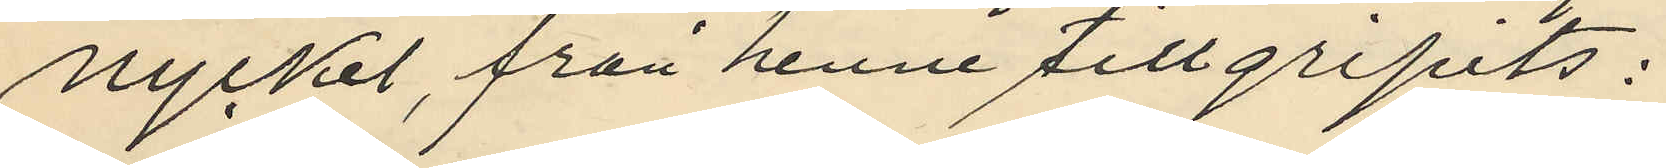nyckel, från henne tillgripits:
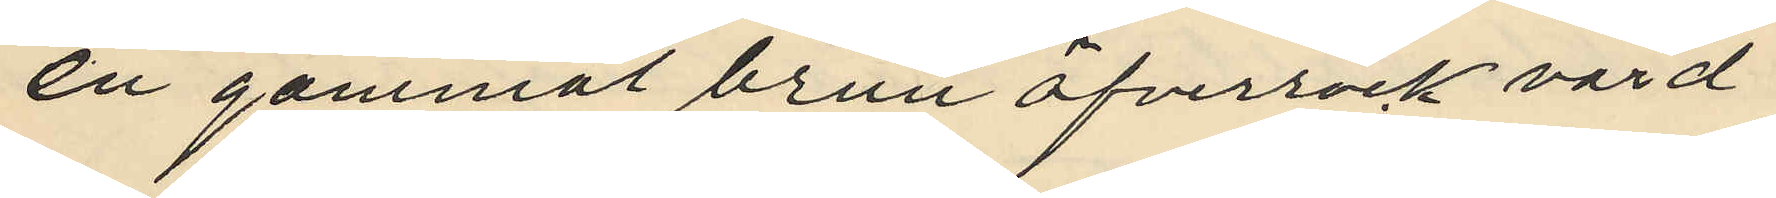en gammal brun öfverrock värd
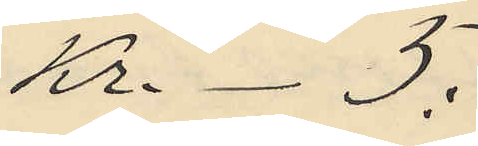Kr.- 5:
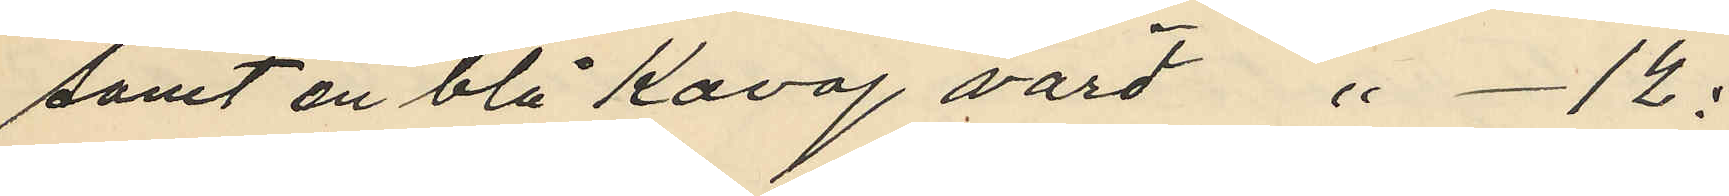samt en blå kavaj värd " - 12:
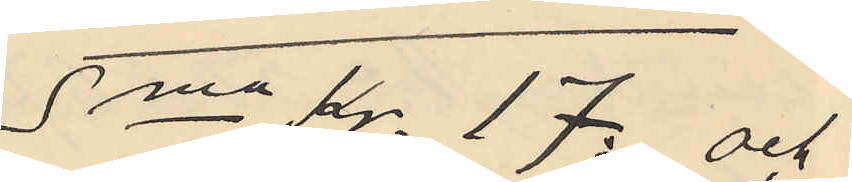Sma Kr. 17: och
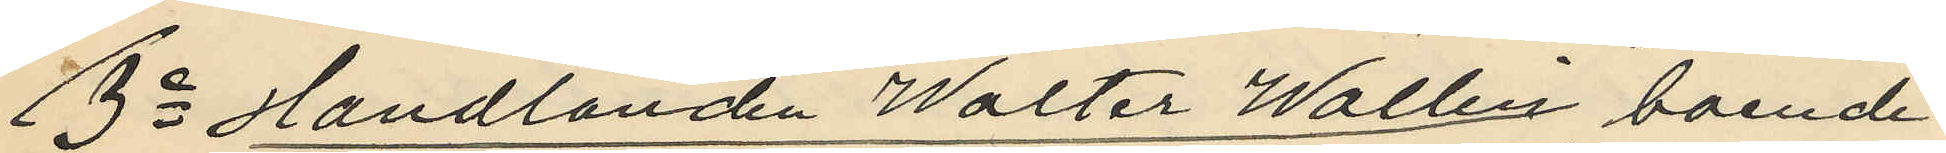3o Handlanden Walter Wallin boende
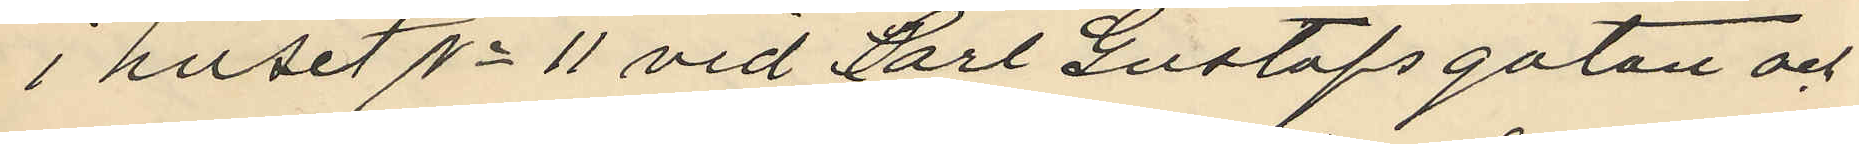i huset No 11 vid Carl Gustafsgatan och
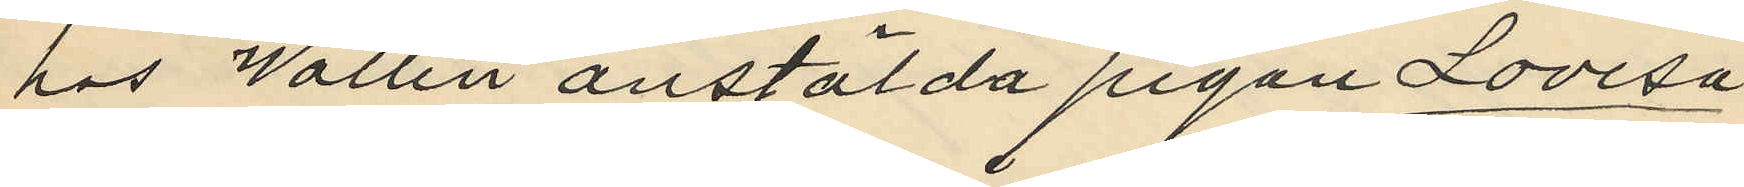hos Wallin anstälda pigan Lovisa
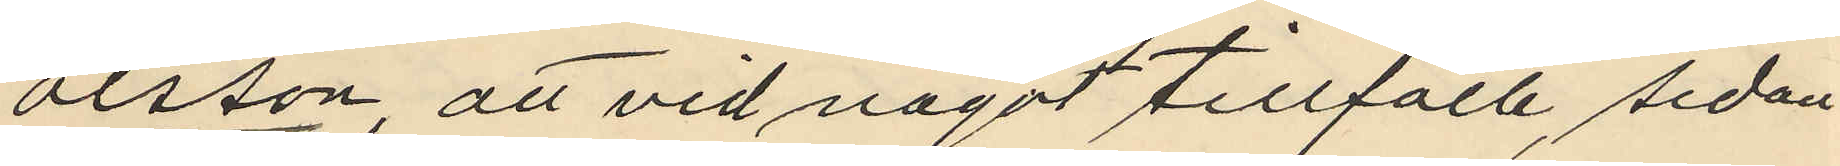Olsson, att vid något tillfälle, sedan
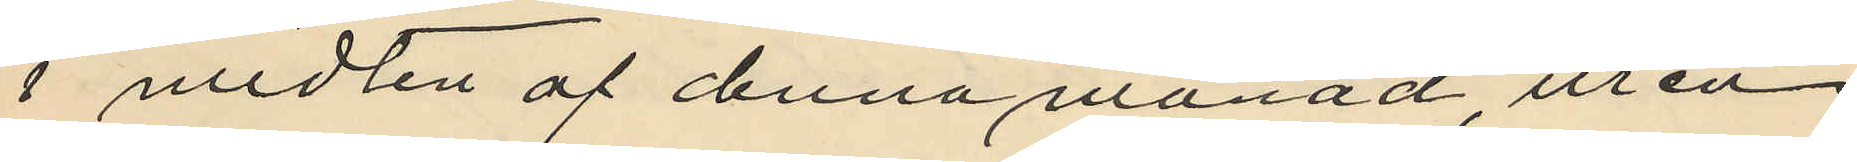i midten af denna månad ur en
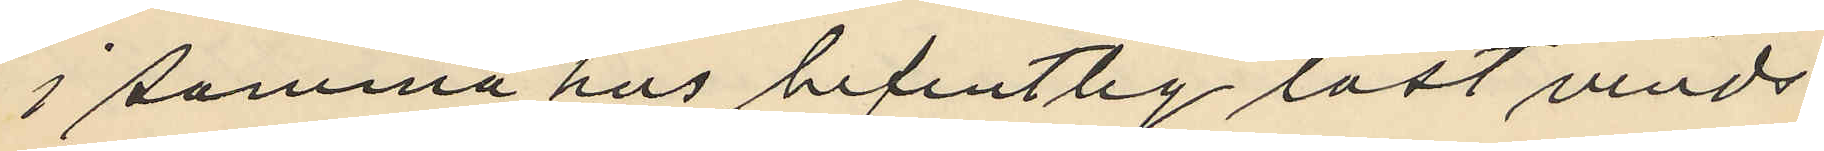i samma hus befintlig låst vinds¬
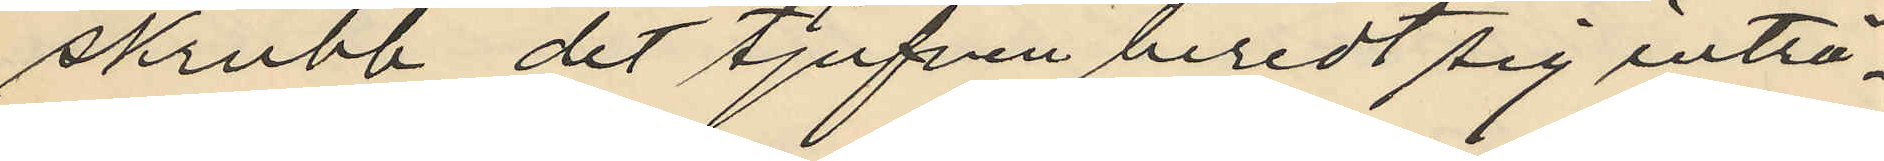skrubb dit tjufven beredt sig inträ¬
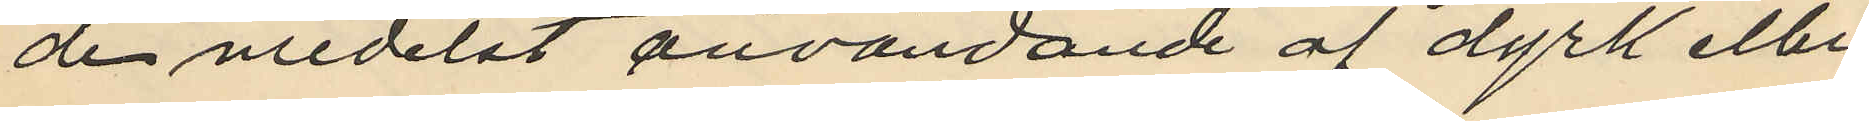de medelst användande af dyrk eller
